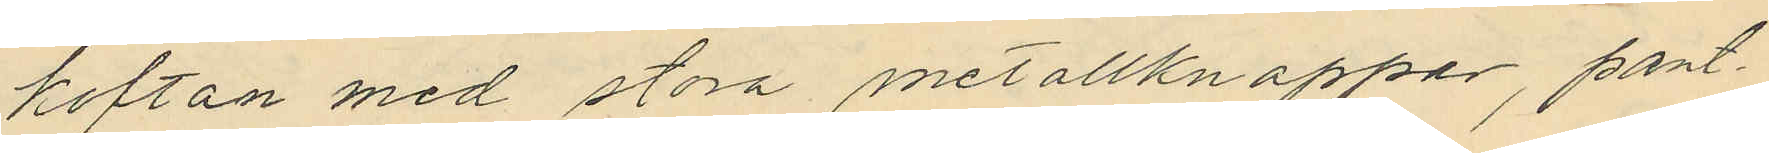koftan med stora metallknappar, pant¬
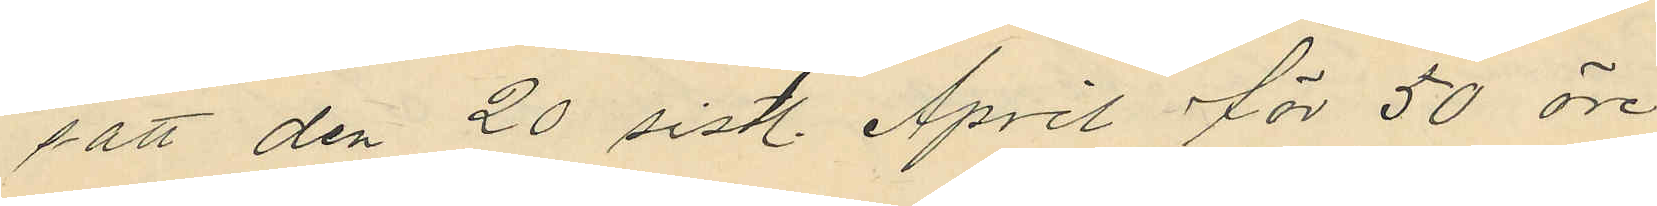satt den 20 sistl. April för 50 öre
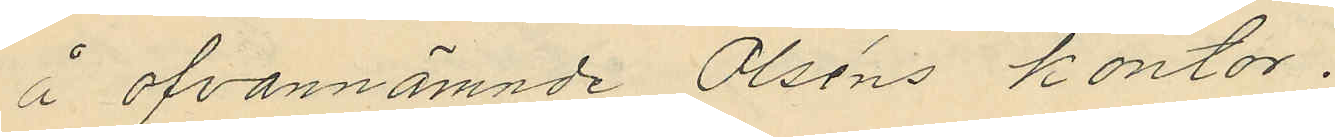å ofvannämnde Olséns kontor.
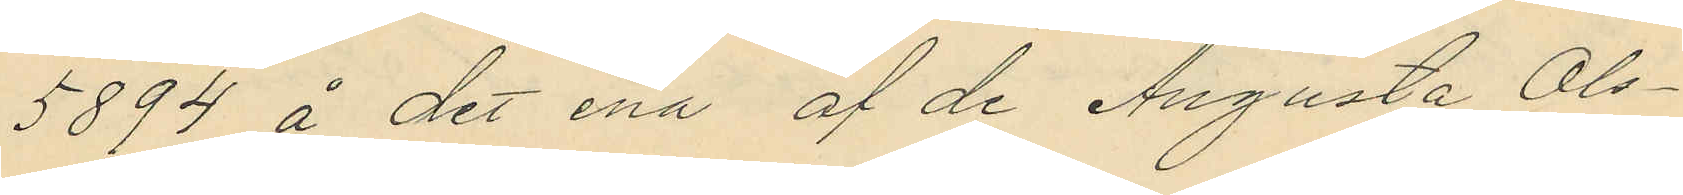5894 å det ena af de Augusta Ols¬
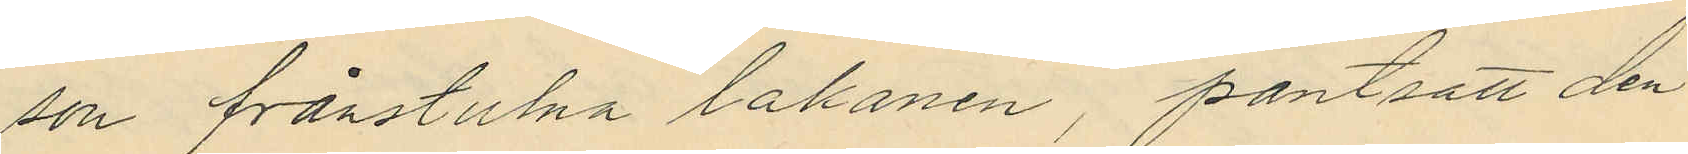son frånstulna lakanen, pantsatt den
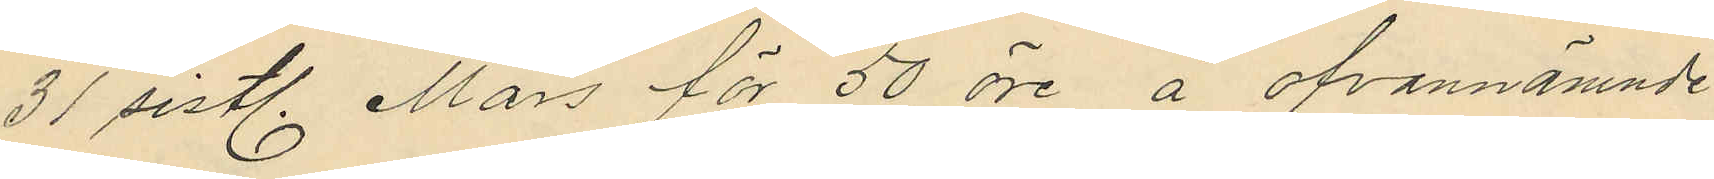31 sistl. Mars för 50 öre å ofvannämnde
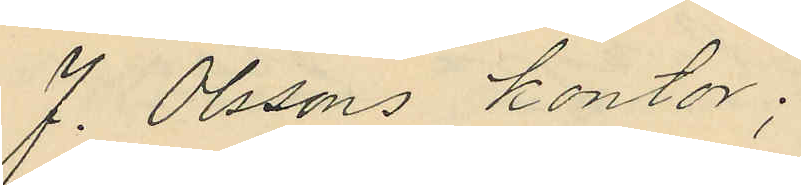J. Olssons kontor;
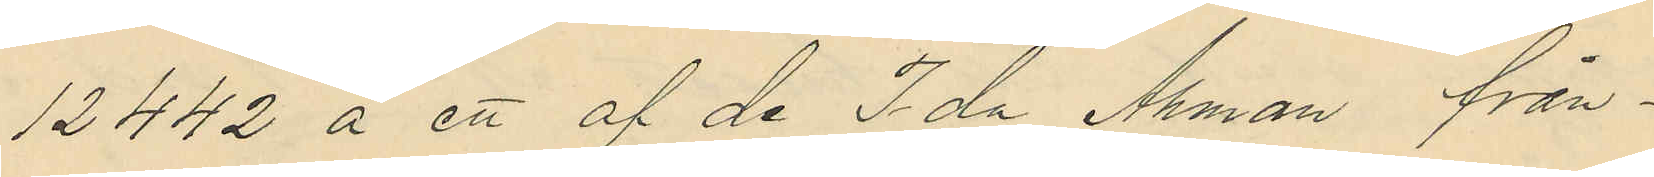12442 å ett af de Ida Åhman från¬
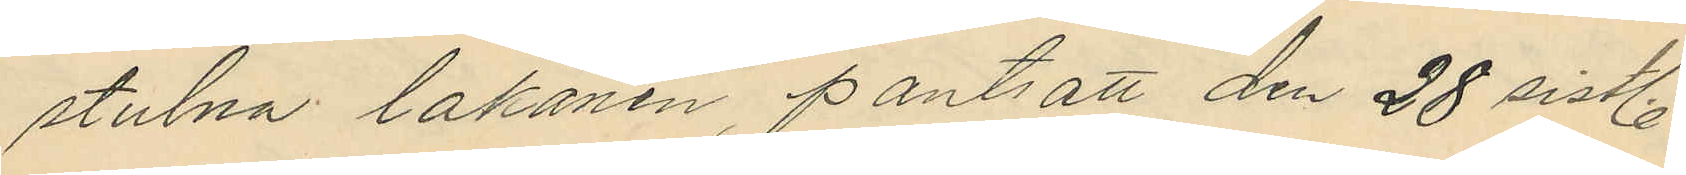stulna lakanen, pantsatt den 28 sistl.
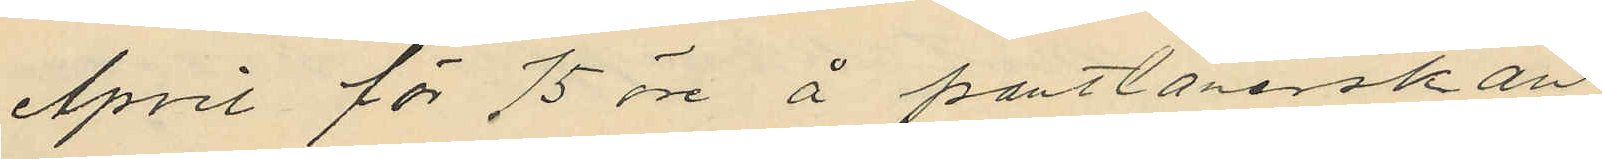April för 75 öre å pantlånerskan
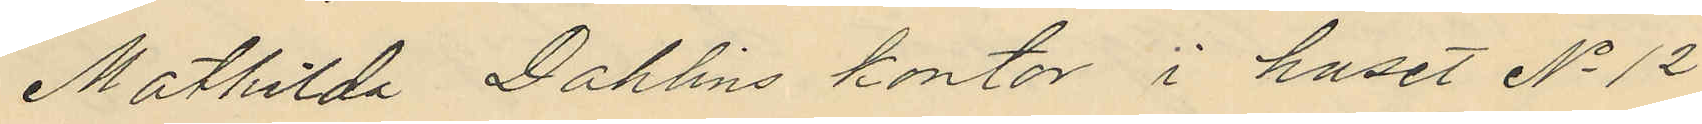Mathilda Dahlins kontor i huset No 12
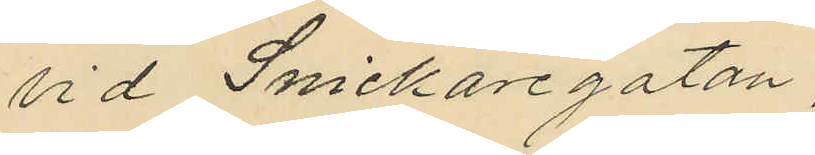vid Snickaregatan,
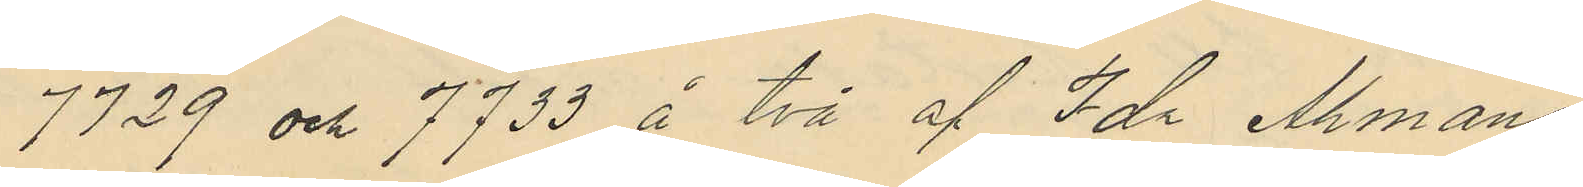7729 och 7733 å två af Ida Åhmans
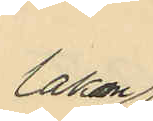lakan
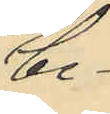be¬
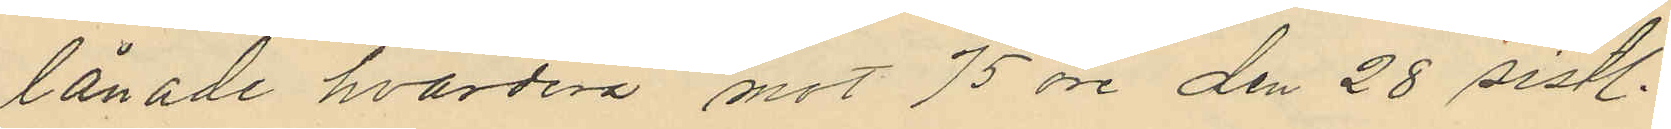lånade hvardera mot 75 öre den 28 sistl.
